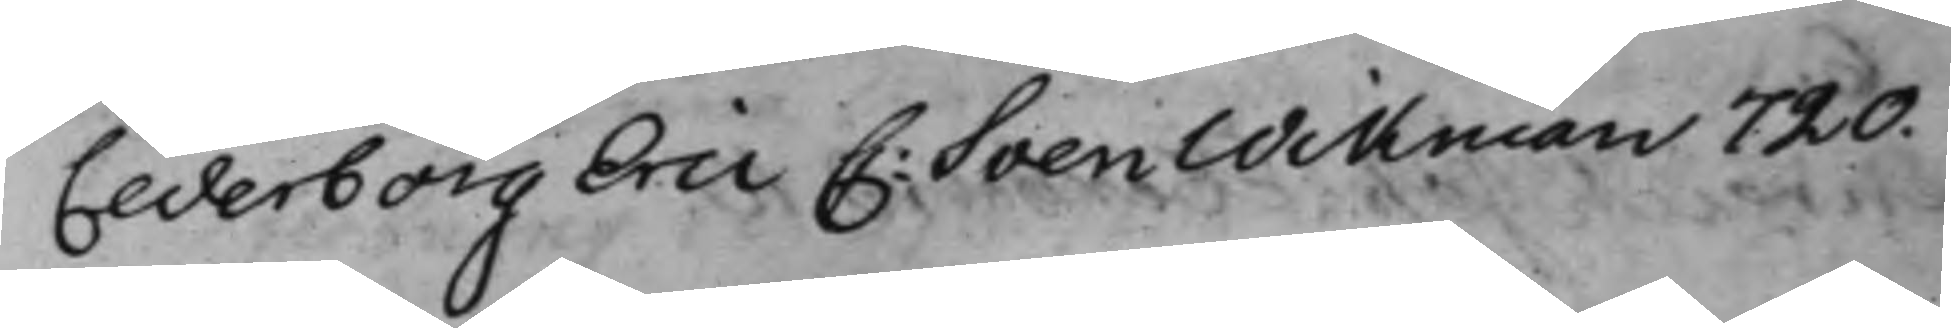Cederborg Eric C: Sven Wikman 720.
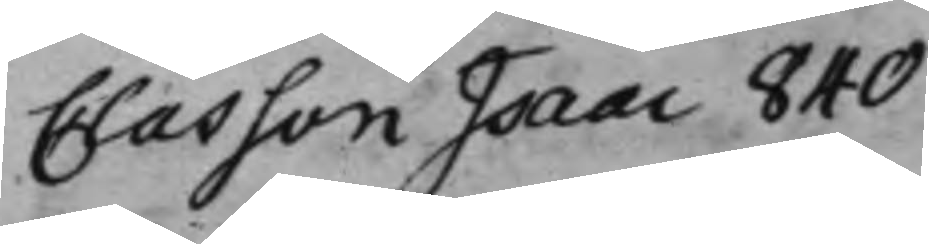Classon Isaac 840
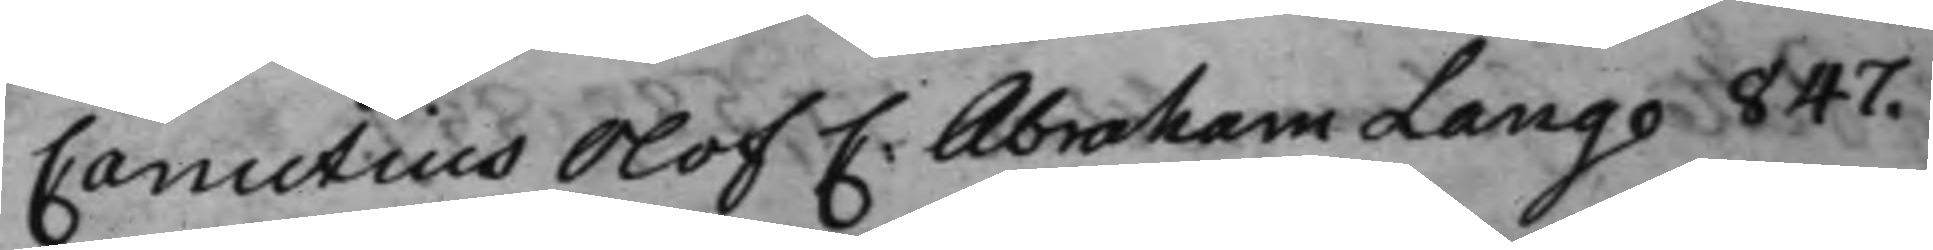Canutius Olof C: Abraham Lange 847.
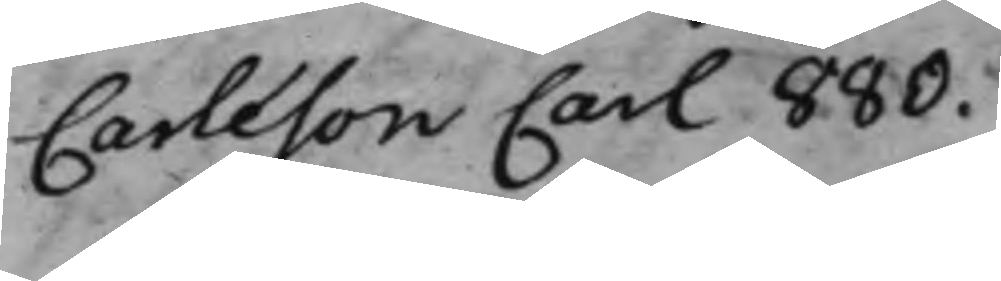Carleson Carl 880.
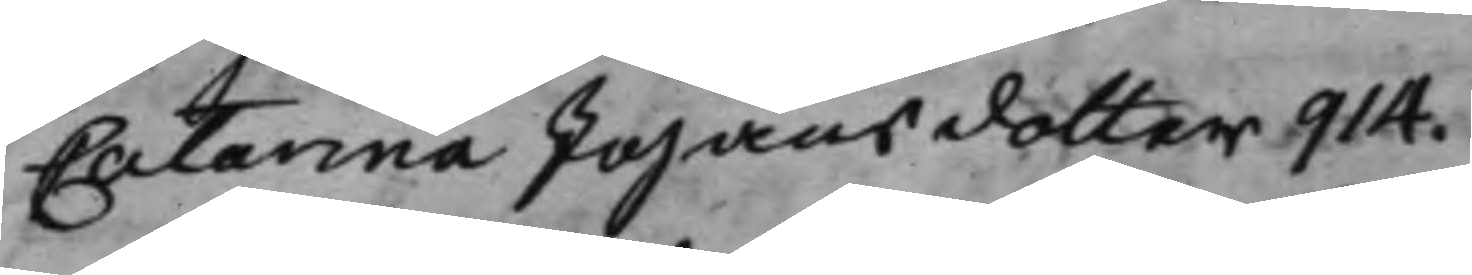Catarina Johansdotter 914.
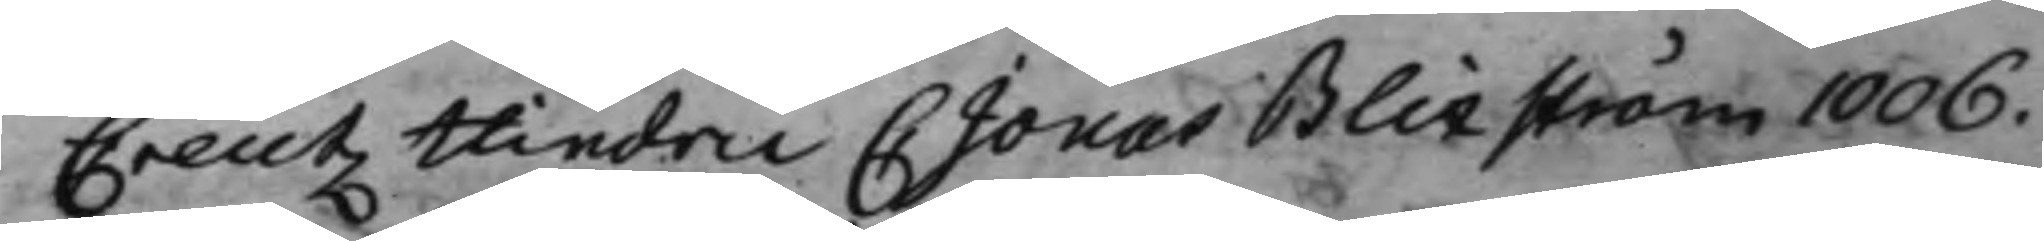Creutz Hindric C Jonas Blixström 1006.
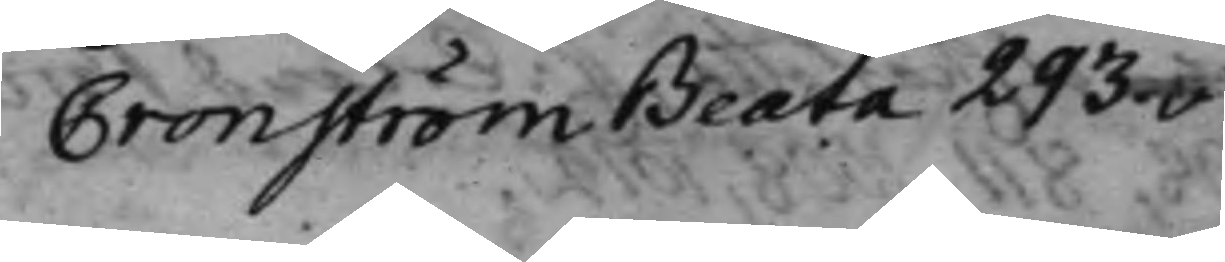Cronström Beata 293.v:
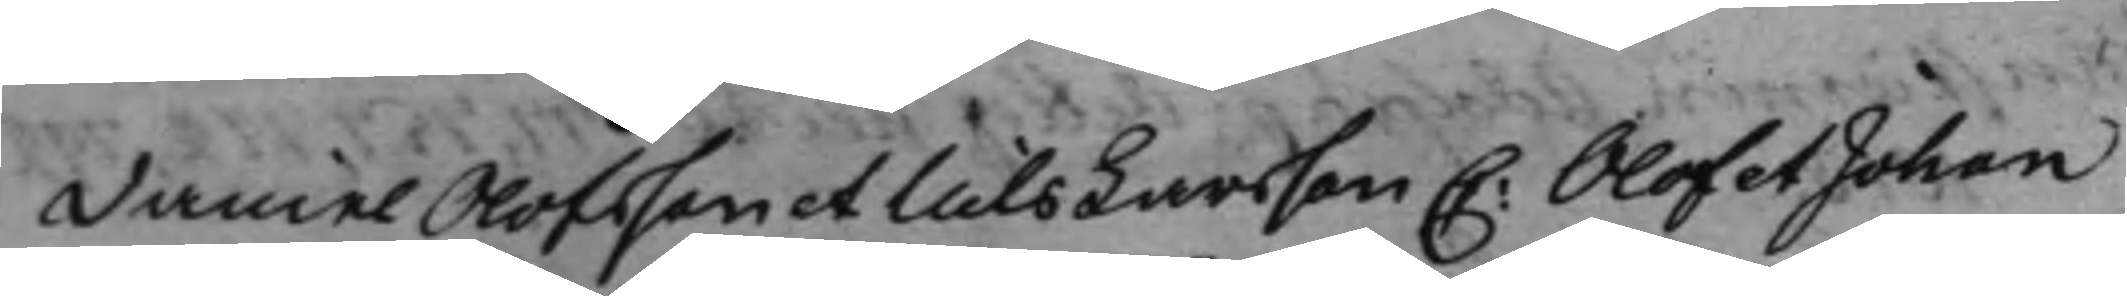Daniel Olofsson et Nils Larsson C: Olof et Johan
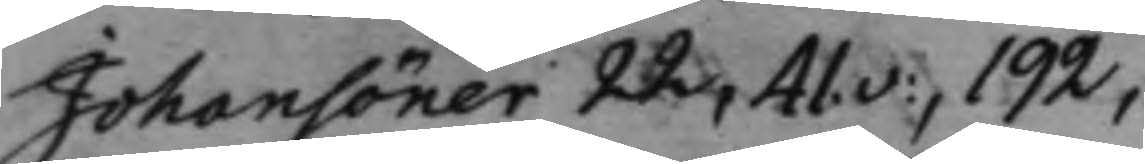Johansöner 22, 41.v:, 192,
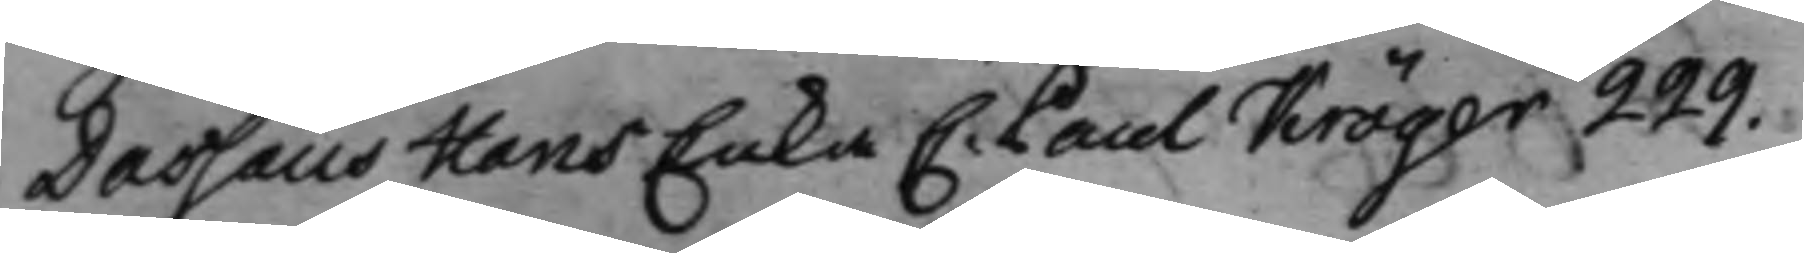Dassaus Hans Enka C: Paul Kröger 229.
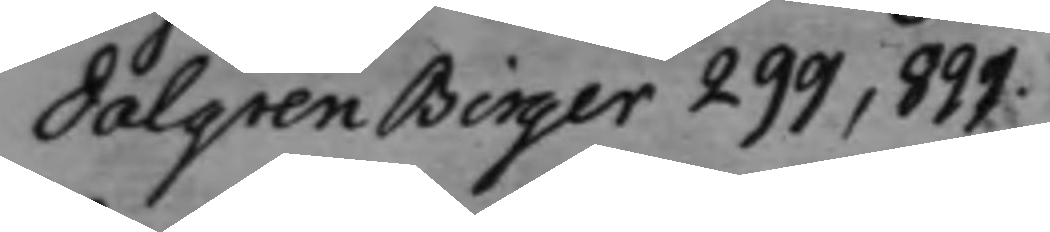Dalgren Birger 299, 899.
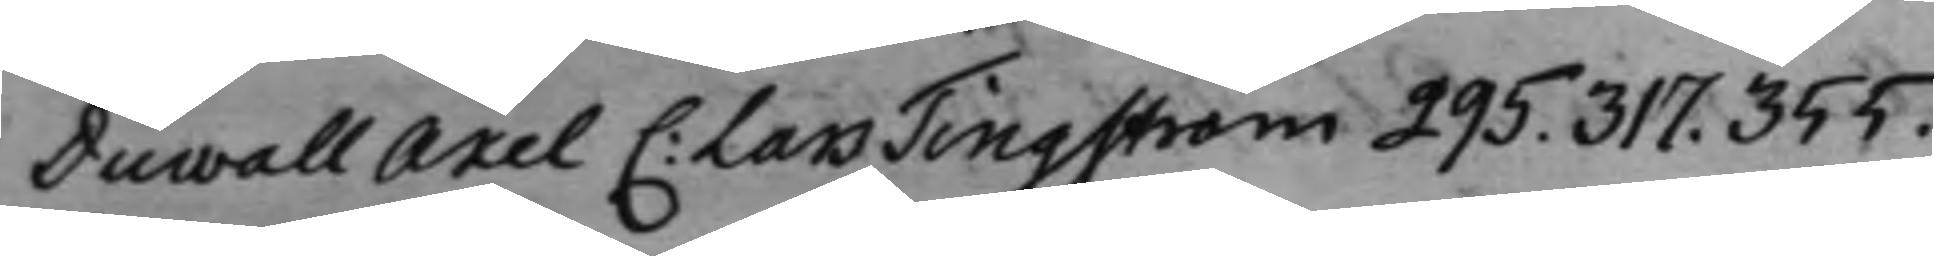Duwall Axel C: Lars Tingström 295. 317. 355.
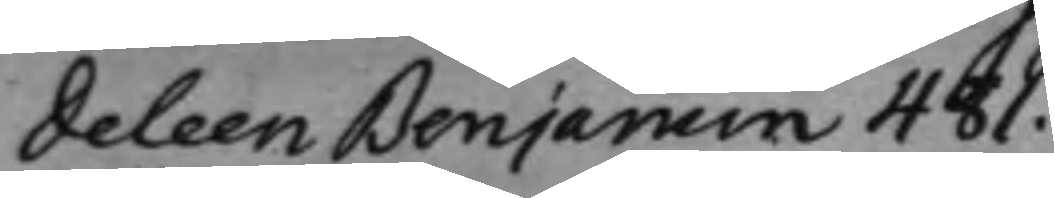Deleen Benjamin 481.
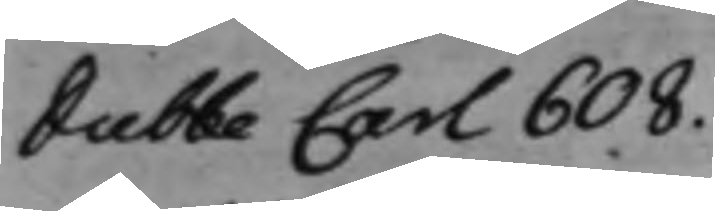Dubbe Carl 608.
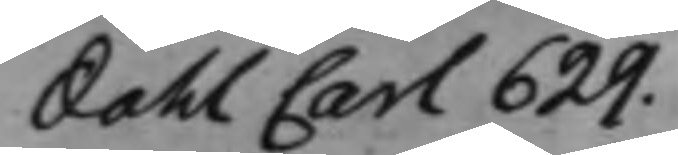Dahl Carl 629.
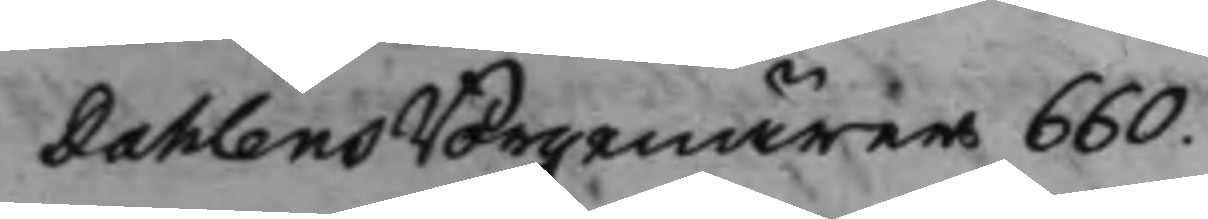Dahlens Borgenärer 660.
